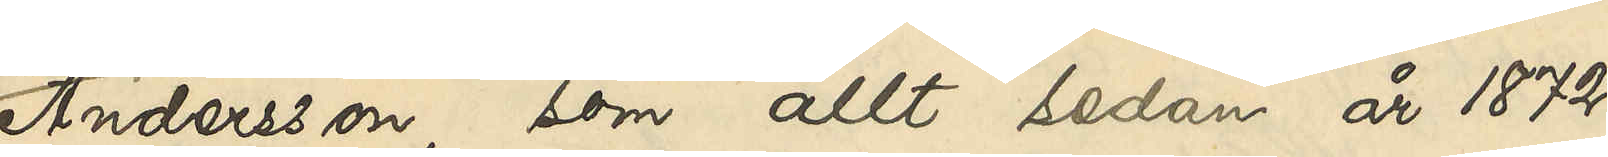Andersson, som allt sedan år 1872
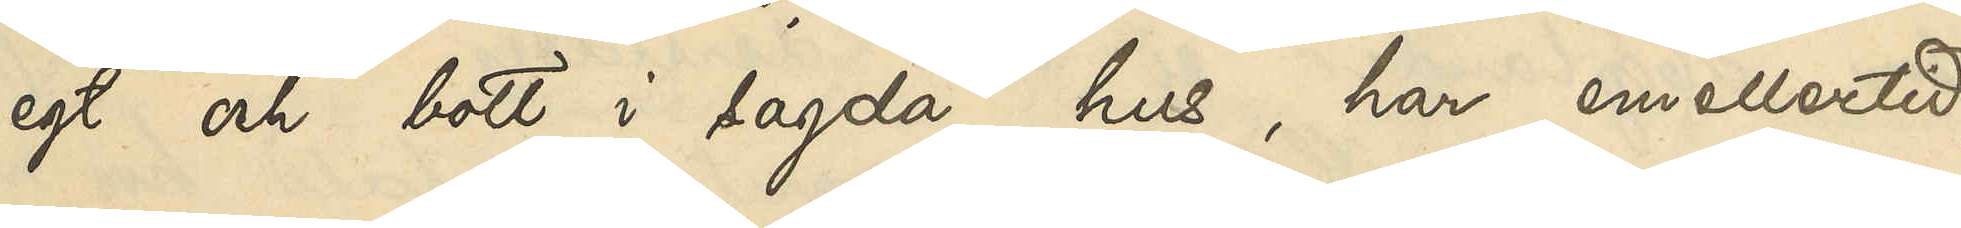egt och bott i sagda hus, har emellertid,
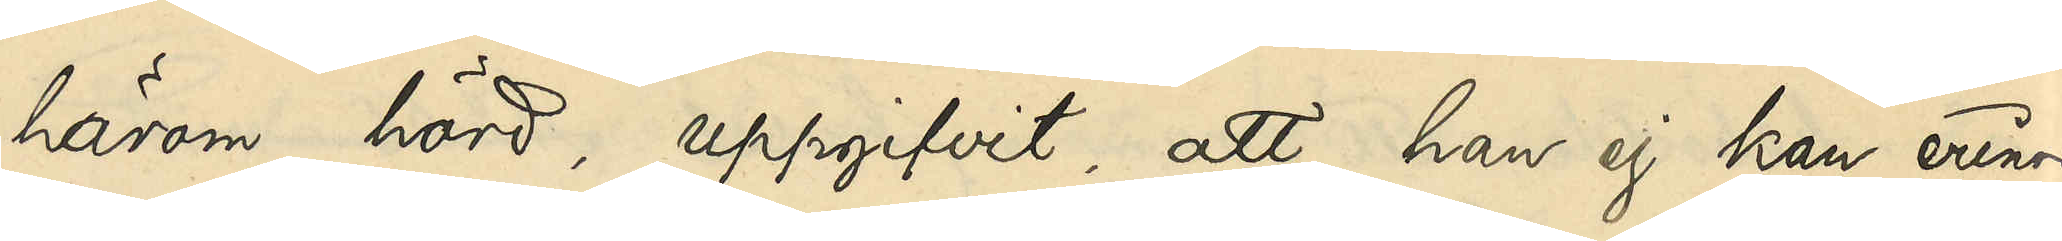härom hörd, uppgifvit, att han ej kan erinra
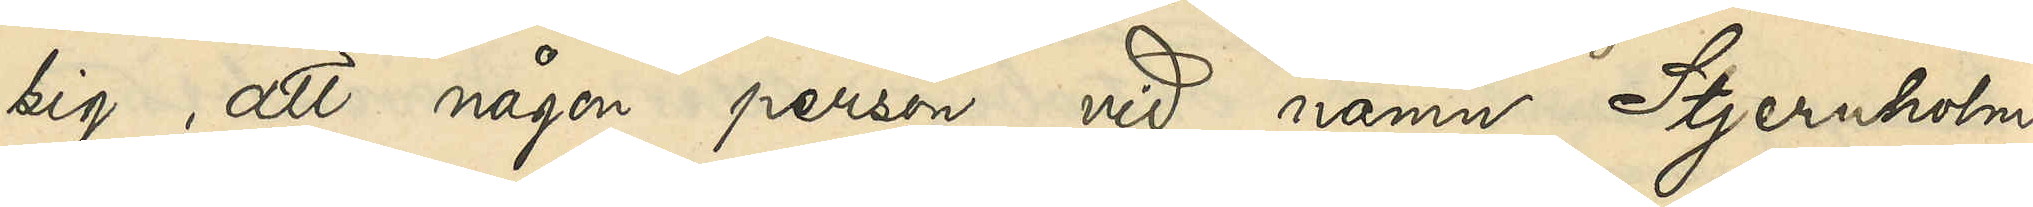sig, att någon person vid namn Stjernholm
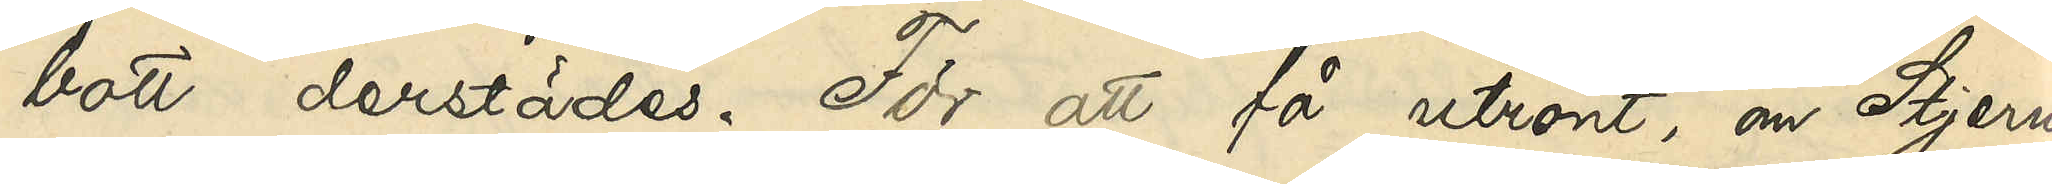bott derstädes. För att få utrönt, om Stjern¬
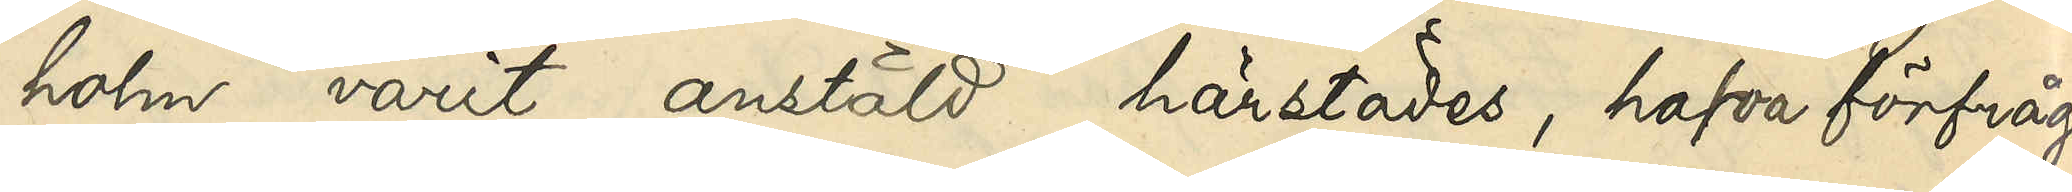holm varit anstäld härstädes, hafva förfråg¬
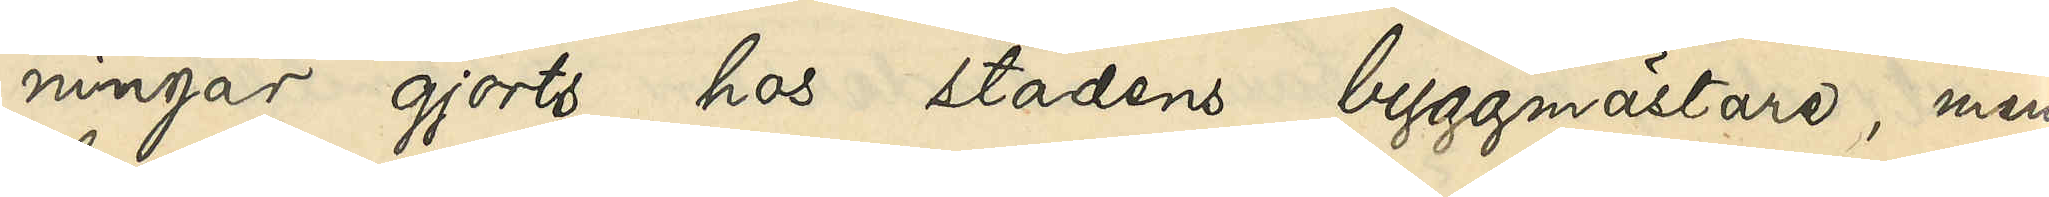ningar gjorts hos stadens byggmästare, men
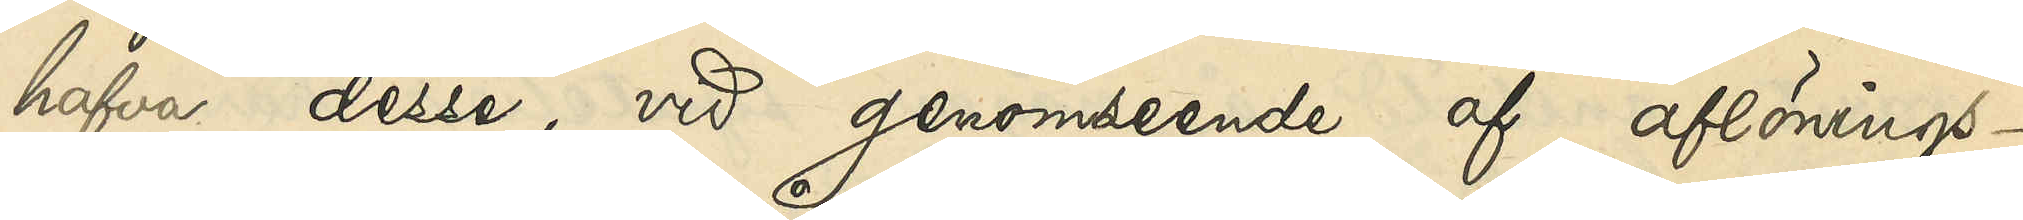hafva desse, med genomseende af aflönings¬
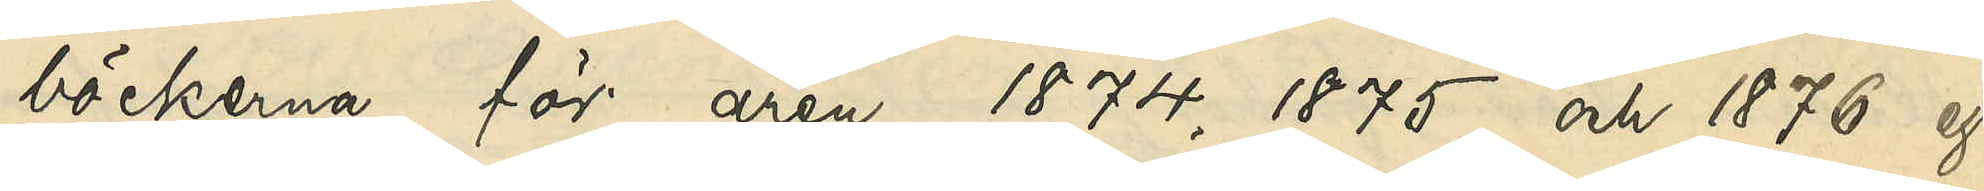böckerna för åren 1874, 1875 och 1876 ej
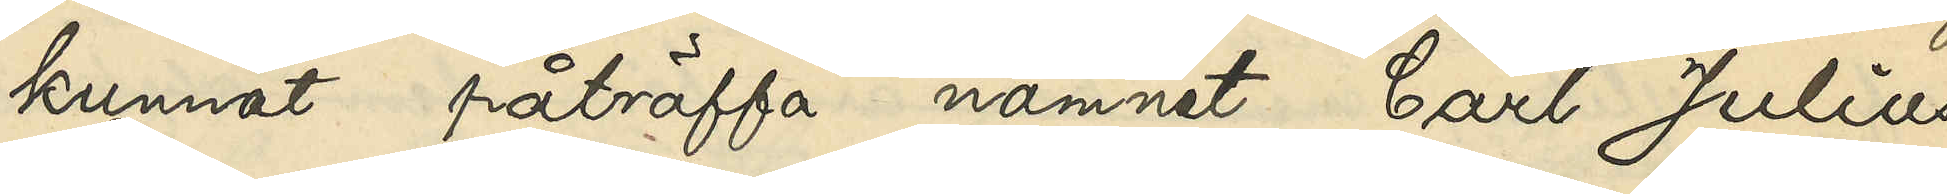kunnat påträffa namnet Carl Julius
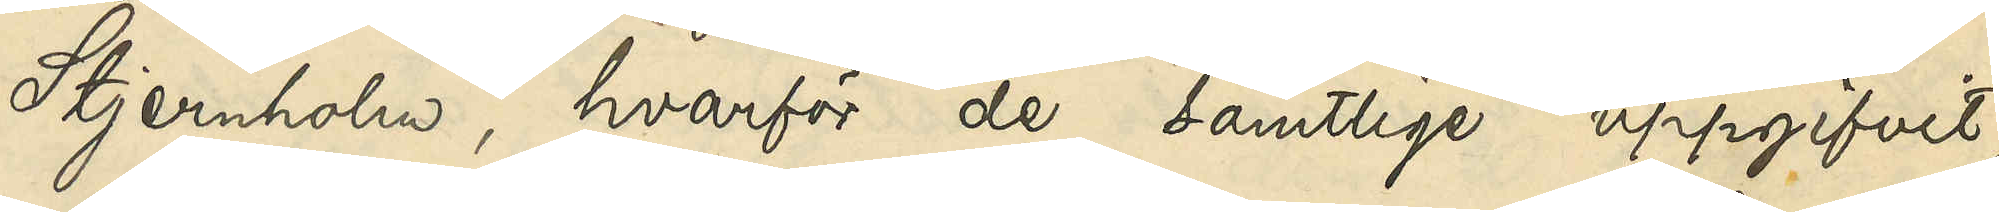Stjernholm, hvarför de samtlige uppgifvit,
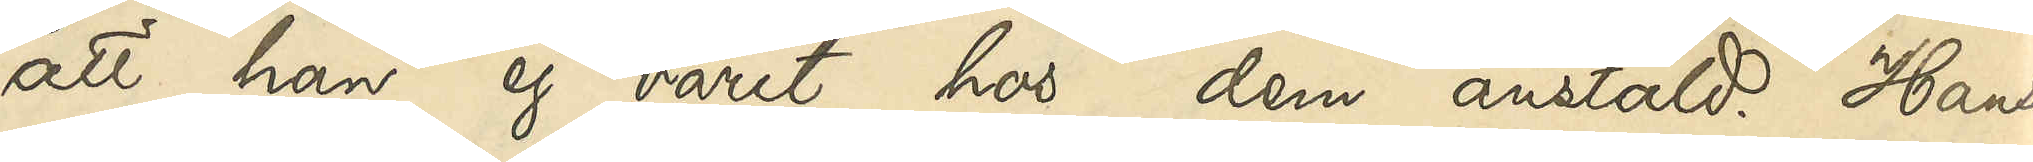att han ej varit hos dem anstäld. Hans
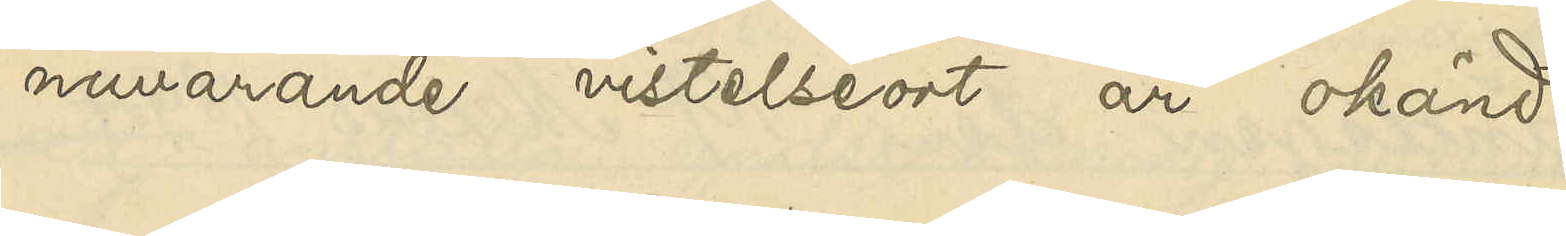nuvarande vistelseort är okänd.
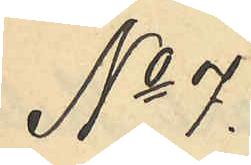No 7.
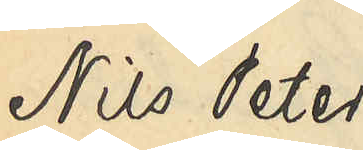Nils Peter 
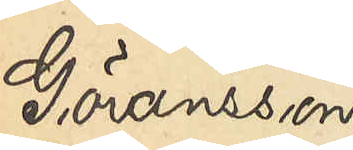Göransson
